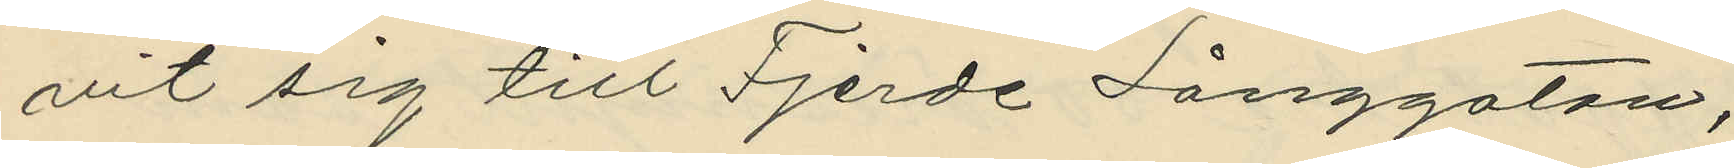vit sig till Fjerde Långgatan;
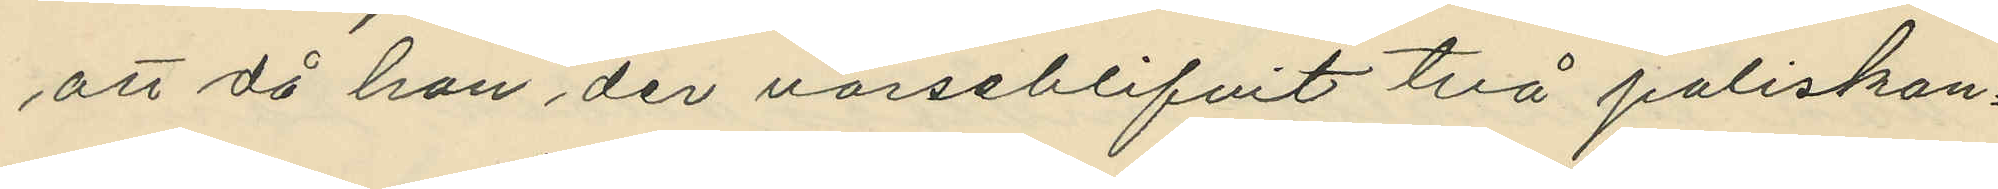att då han der varseblifvit två poliskon¬
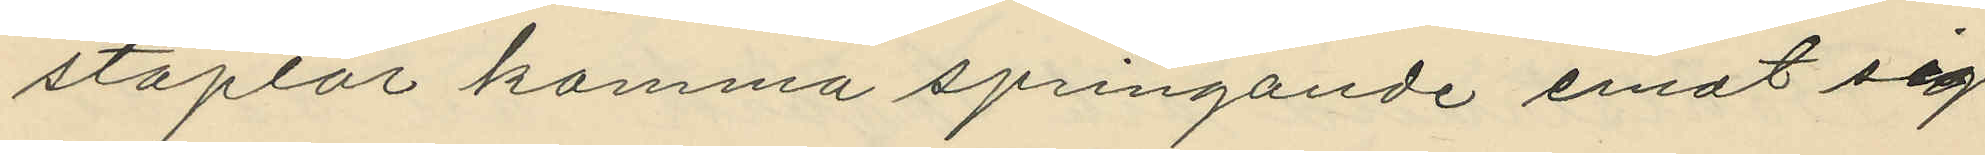staplar komma springande emot sig
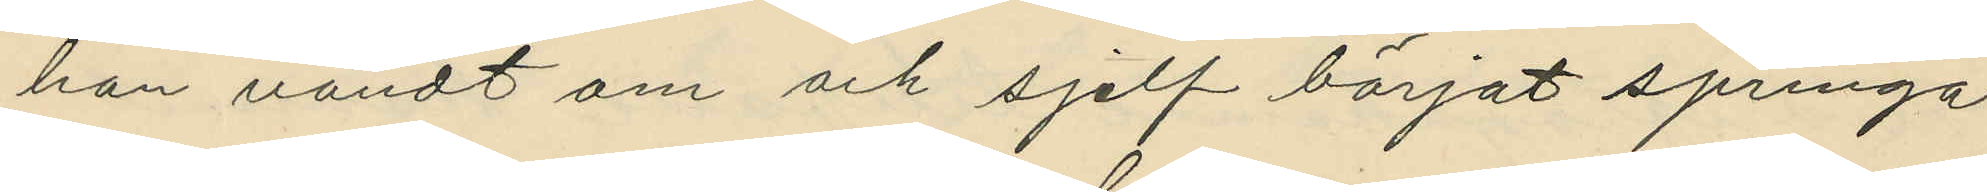han vändt om och sjelf börjat springa
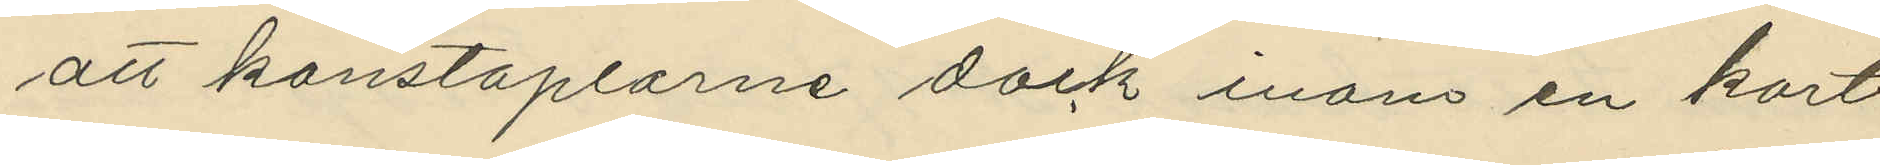att konstaplarne dock inom en kort
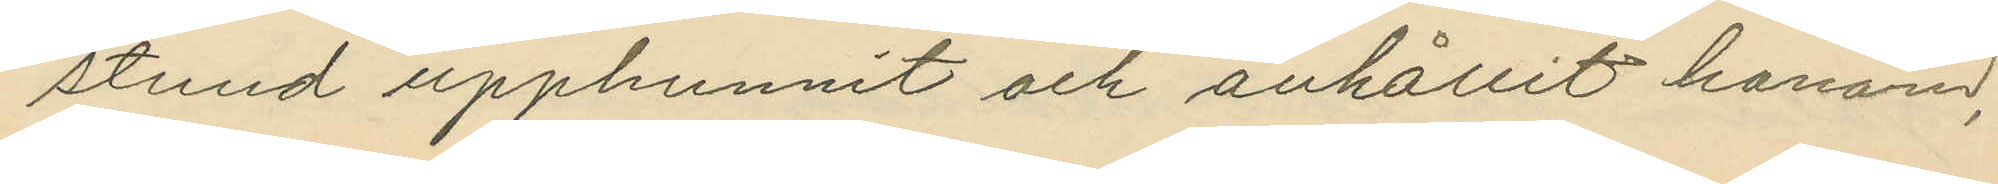stund upphunnit och anhållit honom,
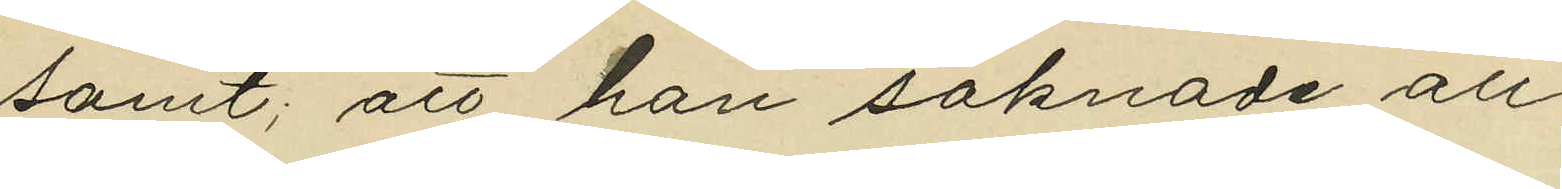samt; att han saknade all
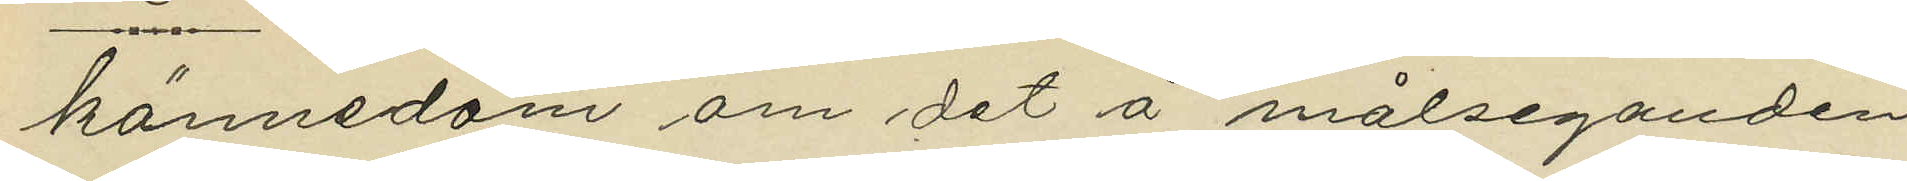kännedom om det å målseganden
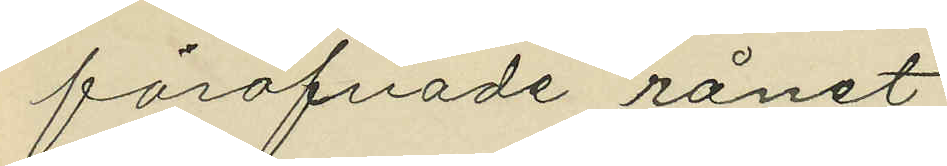föröfvade rånet.
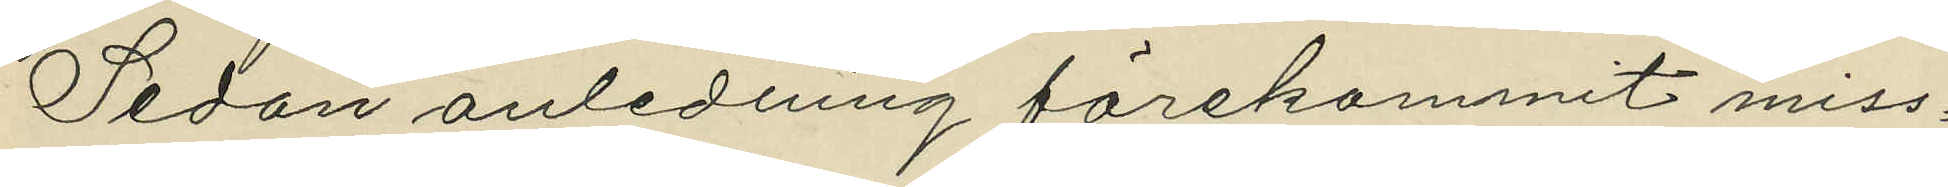Sedan anledning förekommit miss¬
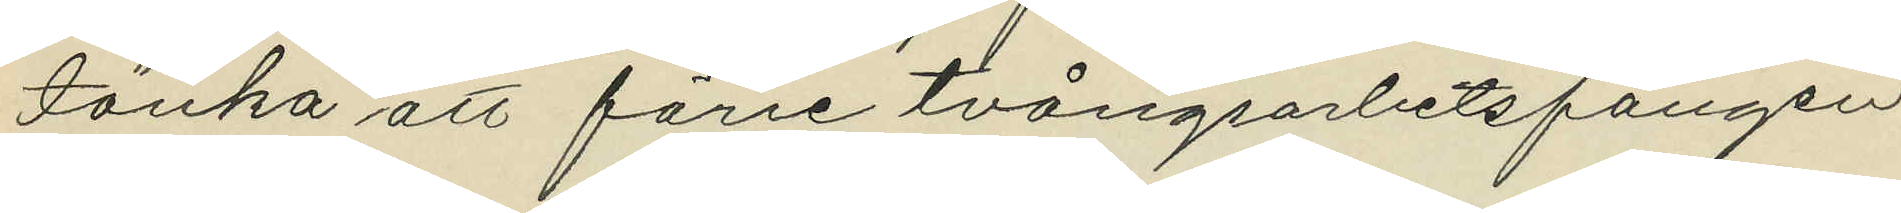tänka att förre tvångsarbetsfången
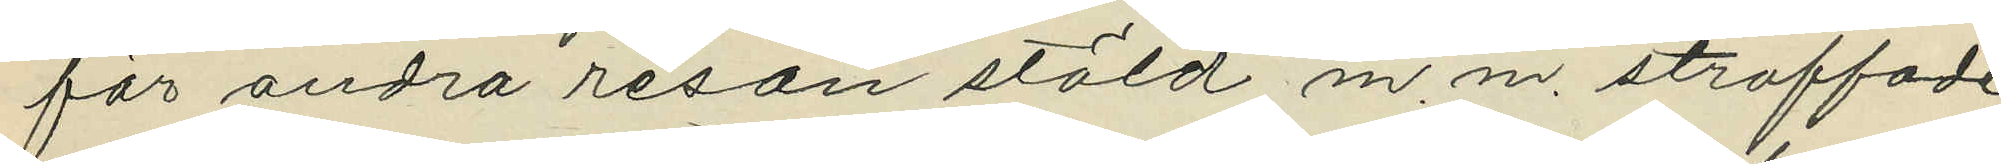för andra resan stöld m. m. straffade
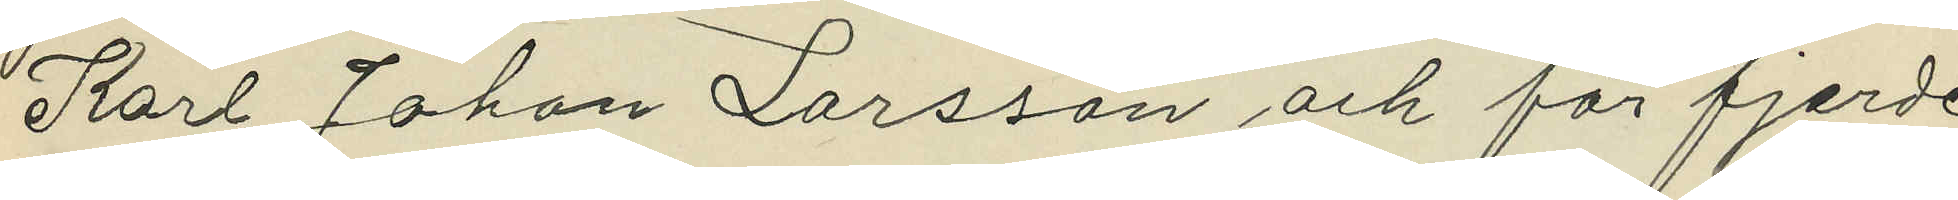Karl Johan Larsson och för fjerde
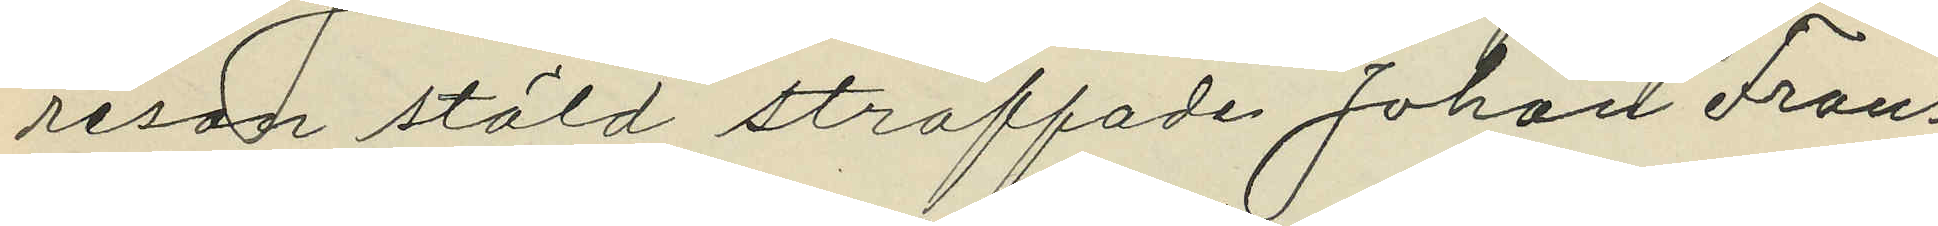resan stöld straffade Johan Frans
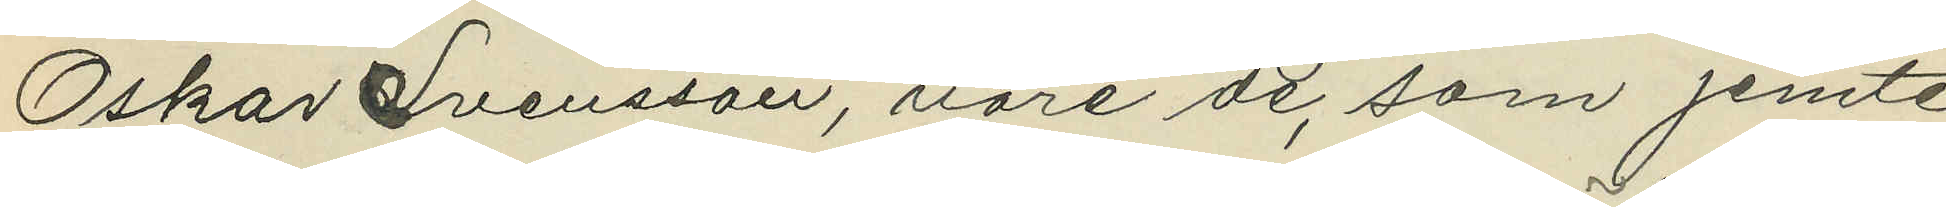Oskar Svensson, vore de, som jemte
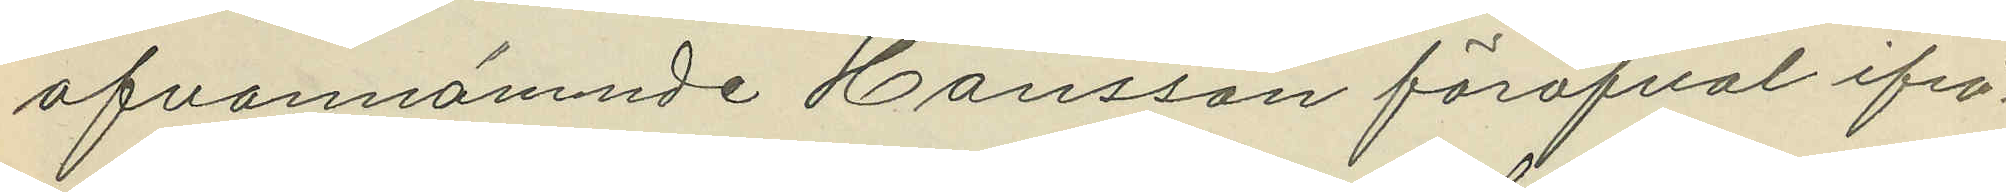ofvannämnde Hansson föröfval ifrå¬
